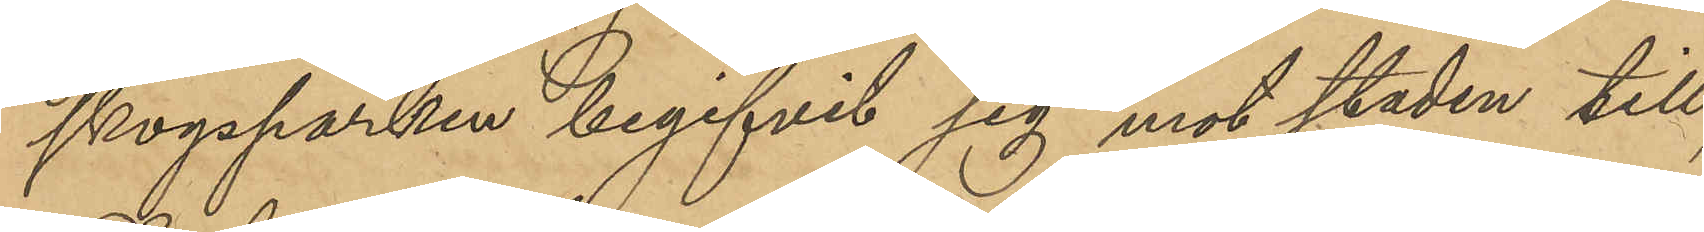skogsparken begifvit sig mot staden till;
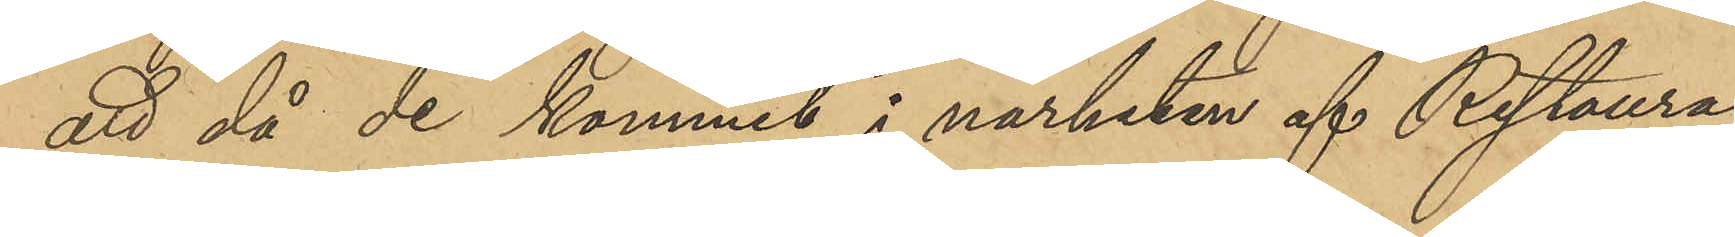att då de kommit i närheten af Restaura¬
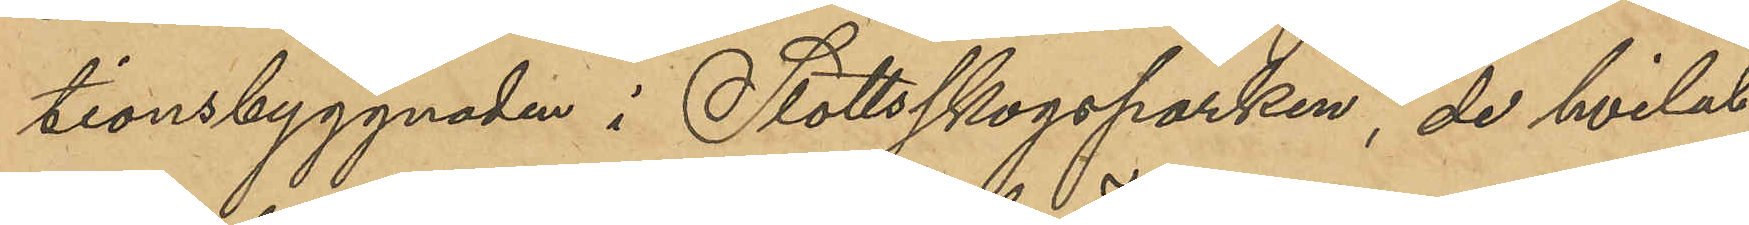tionsbyggnaden i Slottsskogsparken, de hvilat
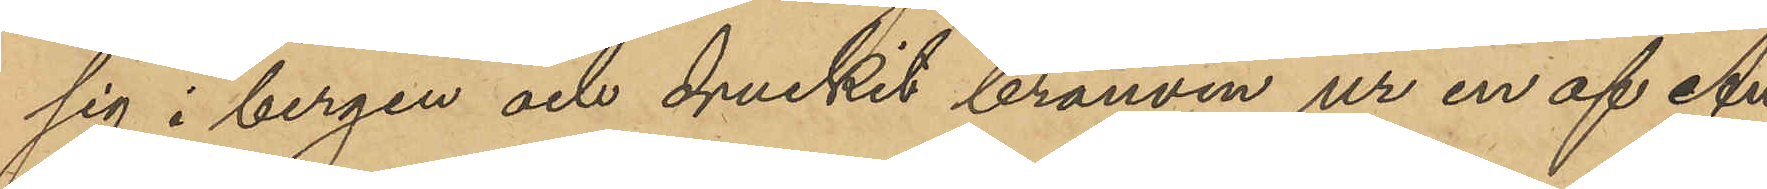sig i bergen och druckit bränvin ur en af An¬
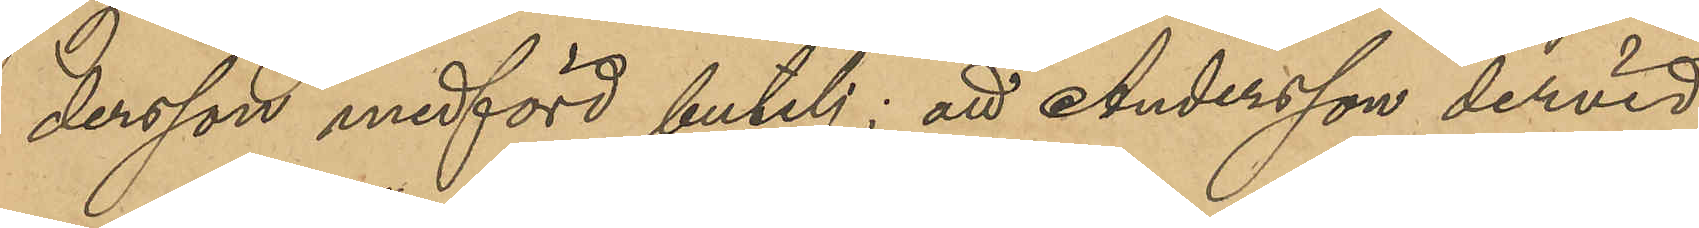dersson medförd butelj; att Anderson dervid
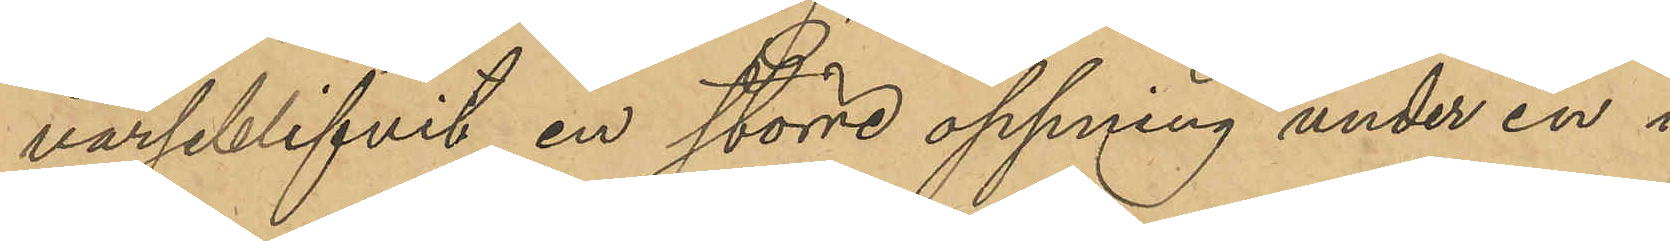varseblifvit en större öppning under en i
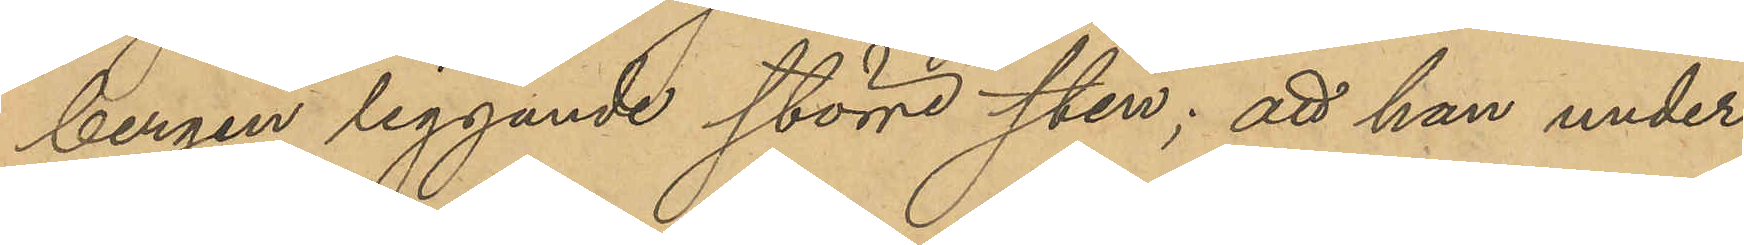bergen liggande större sten; att han under
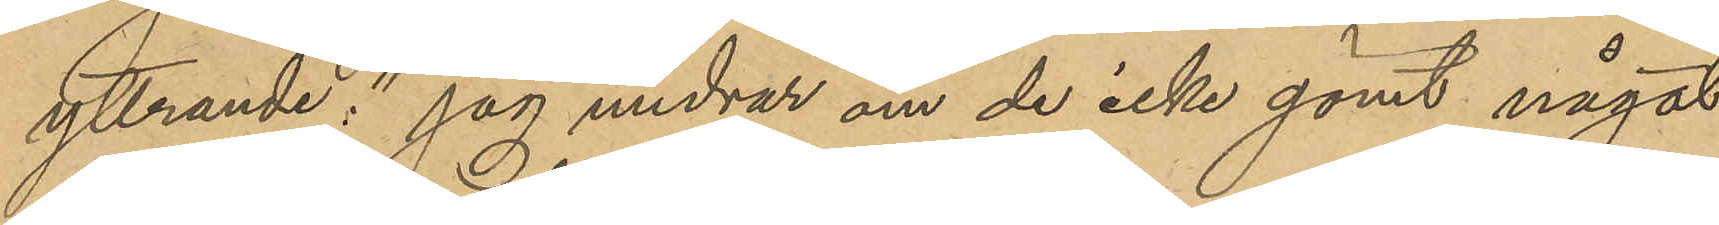yttrande,"jag undrar om de icke gömt något
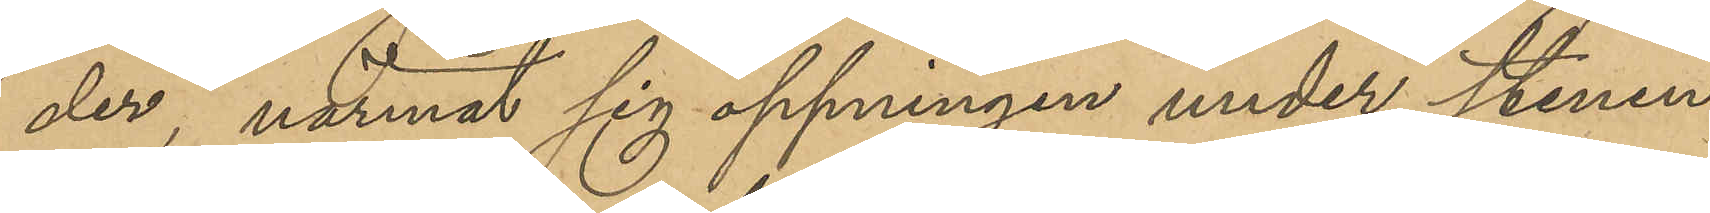der", närmat sig öppningen under stenen
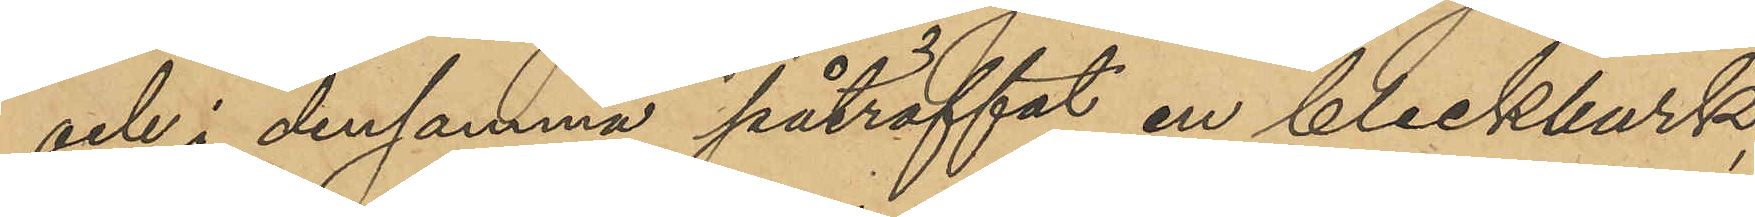och i densamma påträffat en bleckburk,
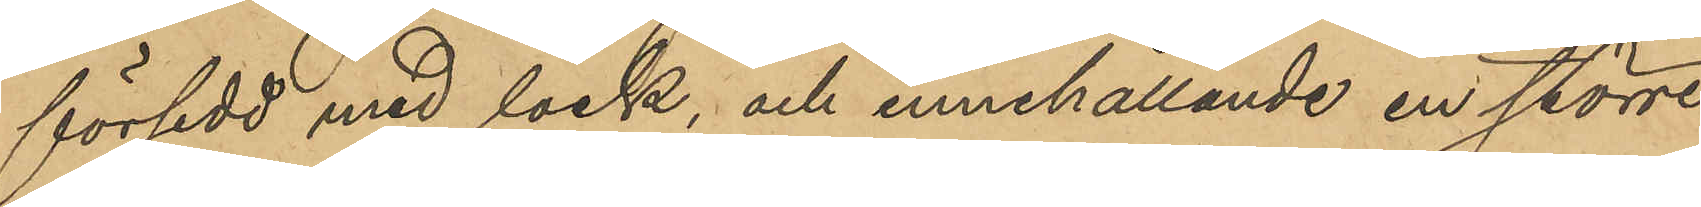försedd med lock, innehållande en större
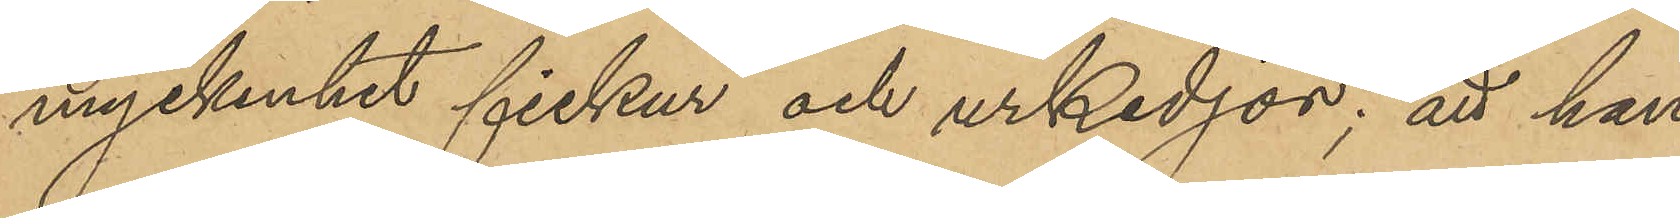myckenhet fickur och urkedjor; att han 
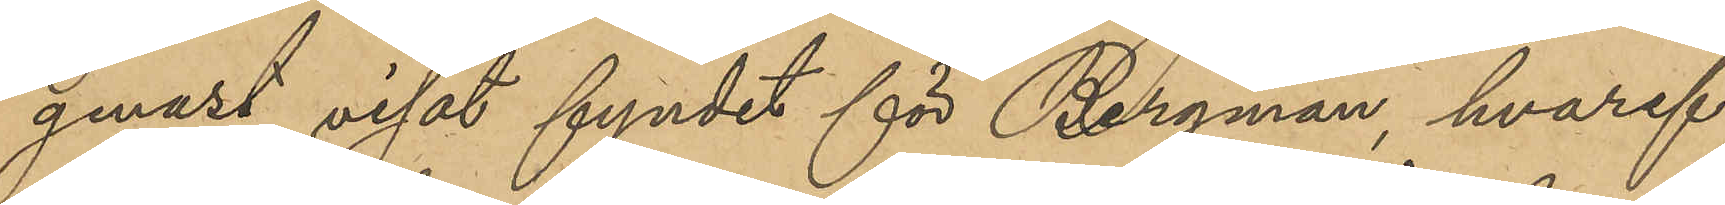genast visat fyndet för Bergman, hvaref¬
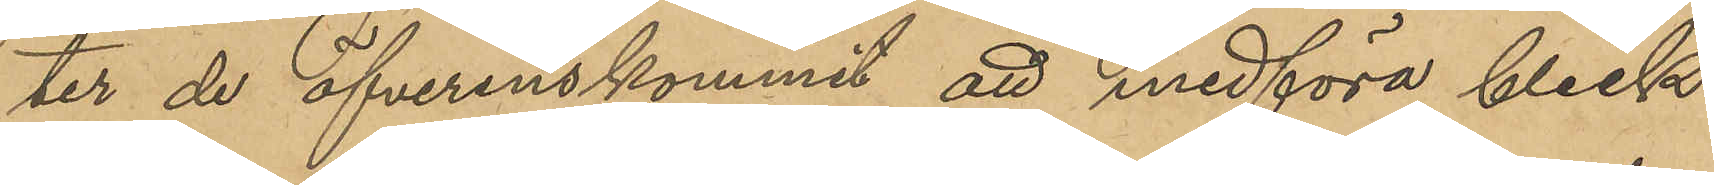ter de öfverenskommit att medföra bleck¬
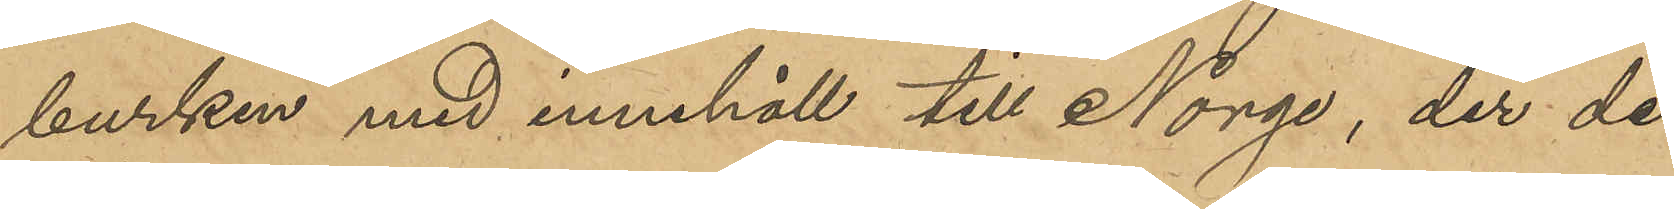burken med innehåll till Norge, der de
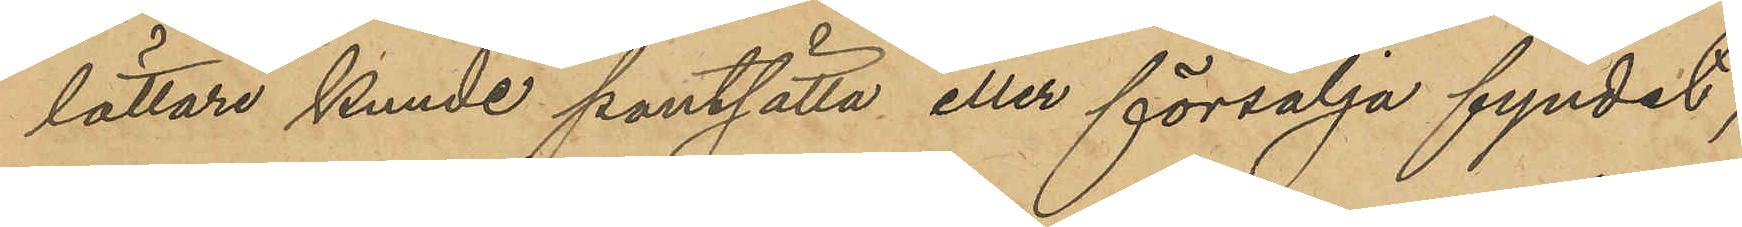lättare kunde pantsätta eller försälja fyndet;
